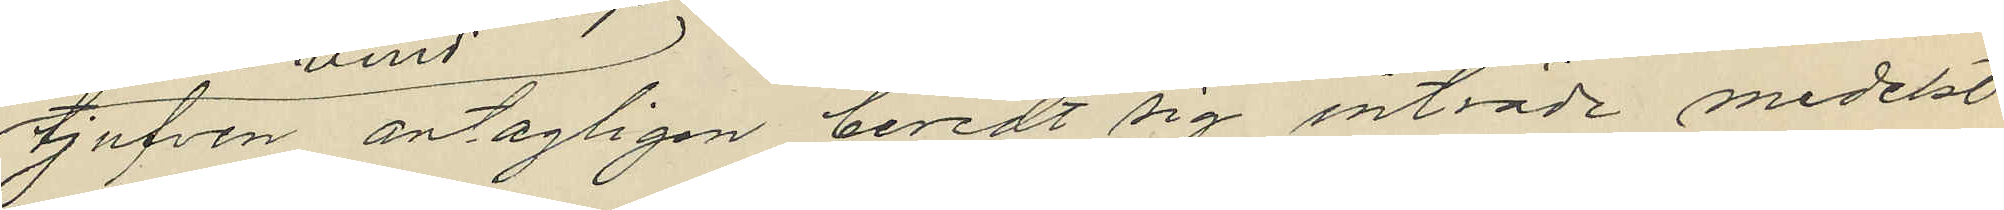tjufven antagligen beredt sig inträde medelst
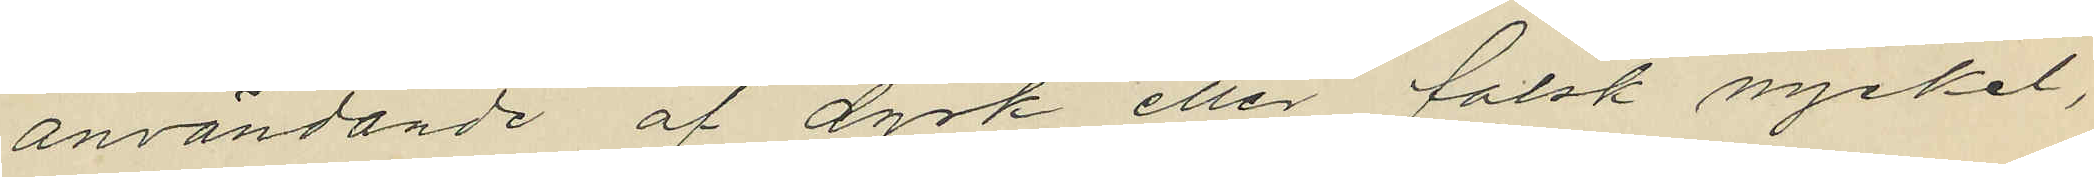användande af dyrk eller falsk nyckel,
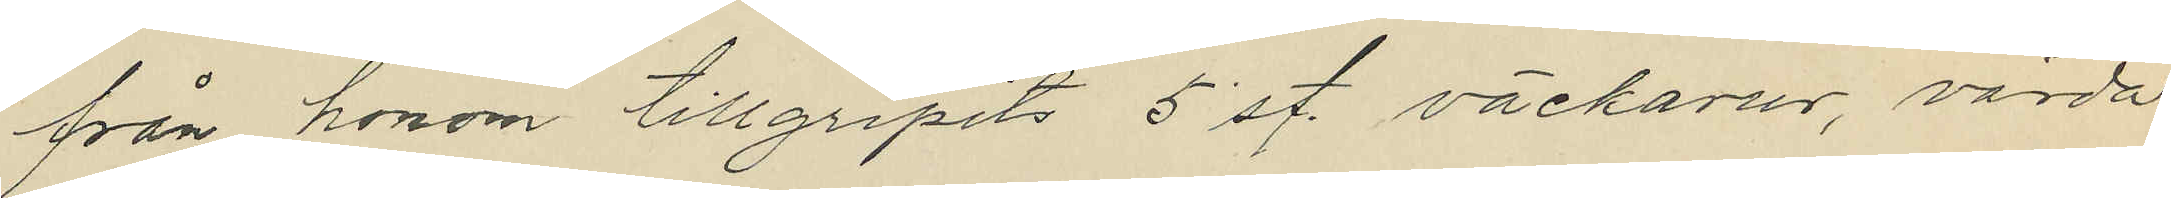från honom tillgripits 5 st. väckarur, värda
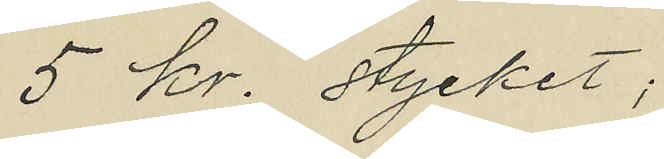5 kr. stycket;
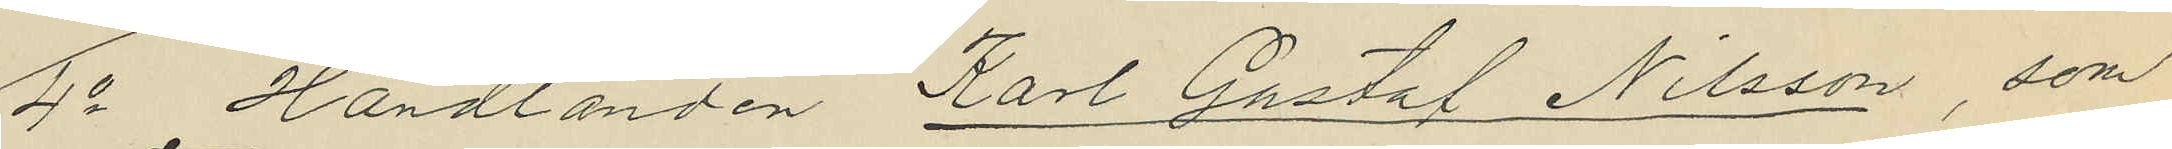4o Handlanden Karl Gustaf Nilsson, som
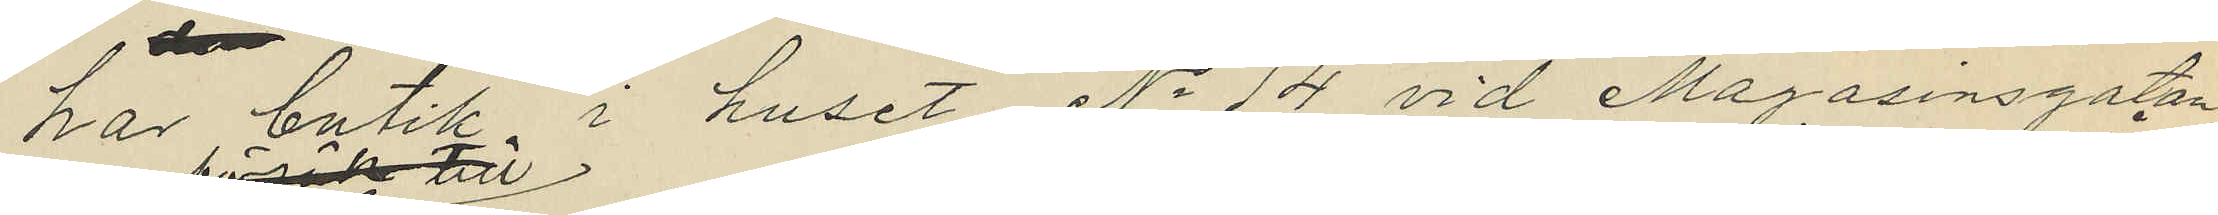har butik i huset No 14 vid Magasinsgatan
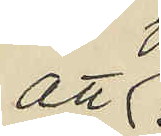att 
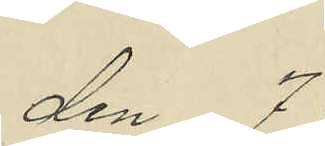den 7
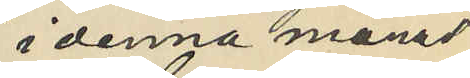i denna månad
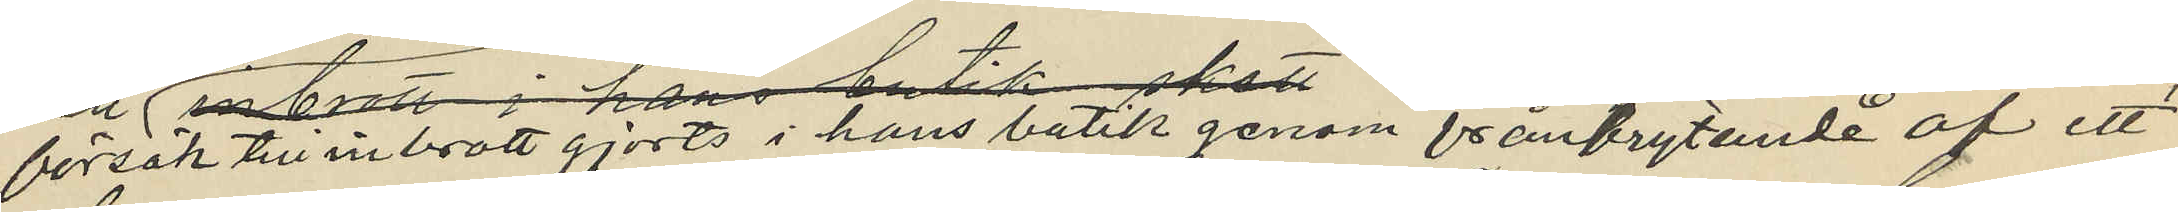försök till inbrott gjorts i hans butik genom frånbrytande af ett
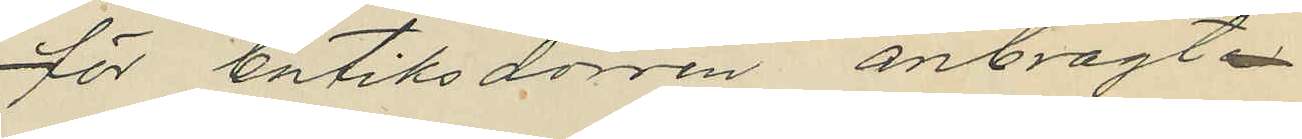för butiksdörren anbragt
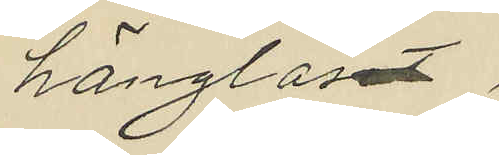hänglåset
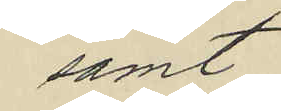samt
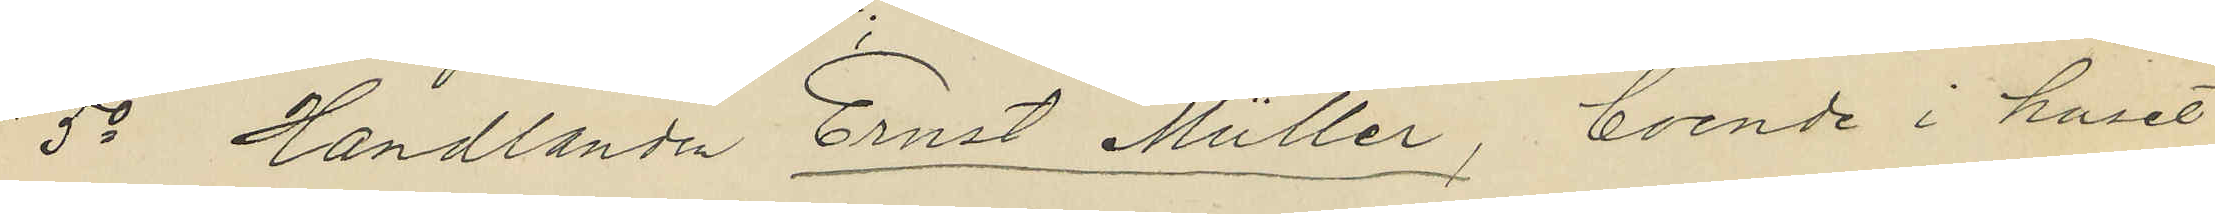5o Handlanden Ernst Muller, boende i huset
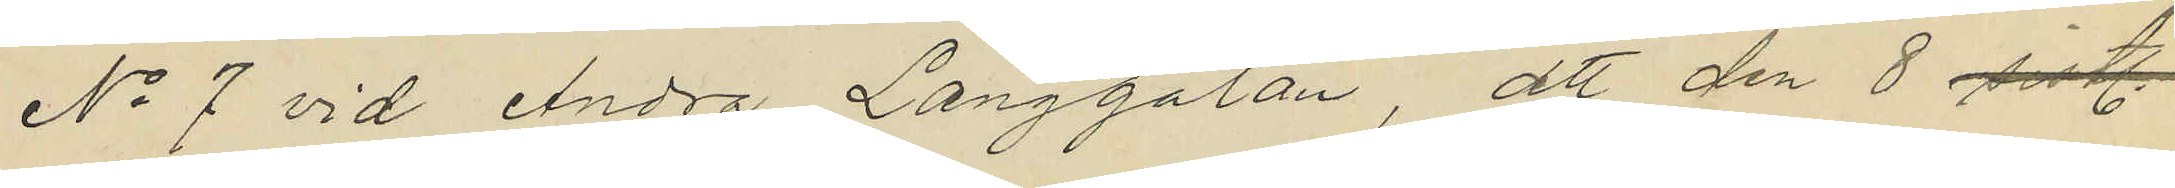No 7 vid Andra Långgatan, att den 8 sistl.
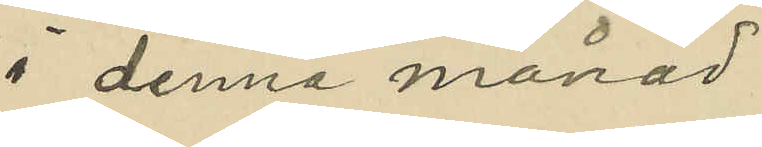i denna månad
